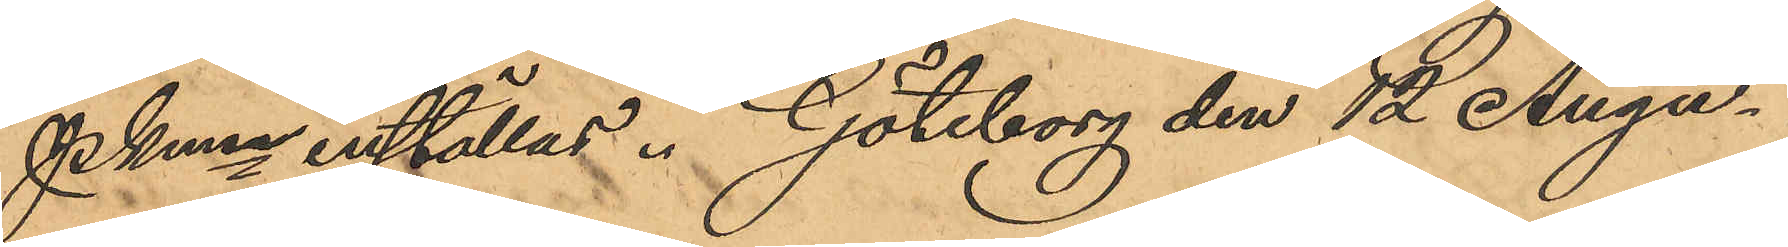Pkmn inställas. Göteborg den 12 Augu¬
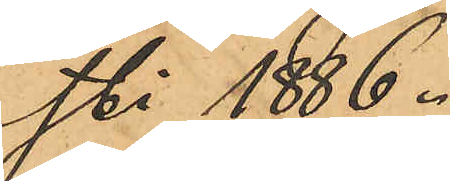sti 1886.
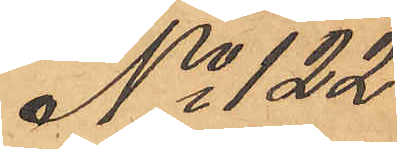No 122
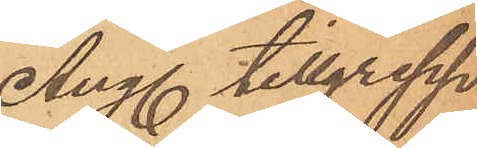Ang tillgrepp
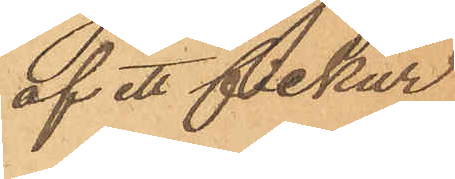af ett fickur
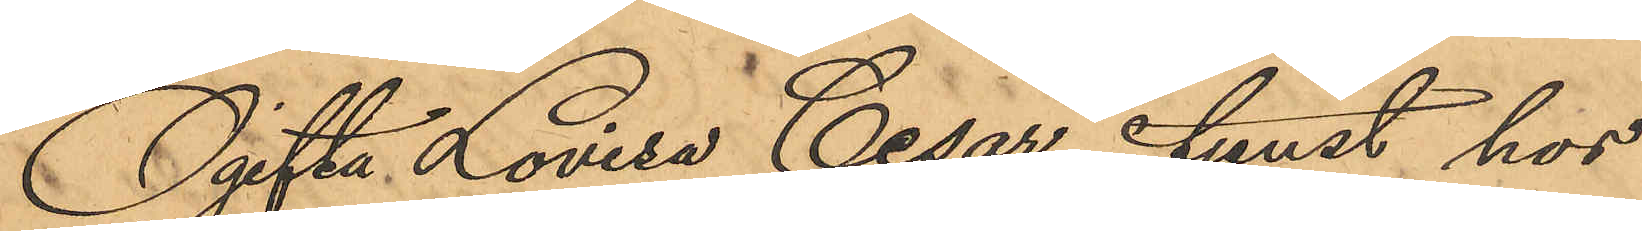Ogifta Lovisa Cesar, i tjänst hos
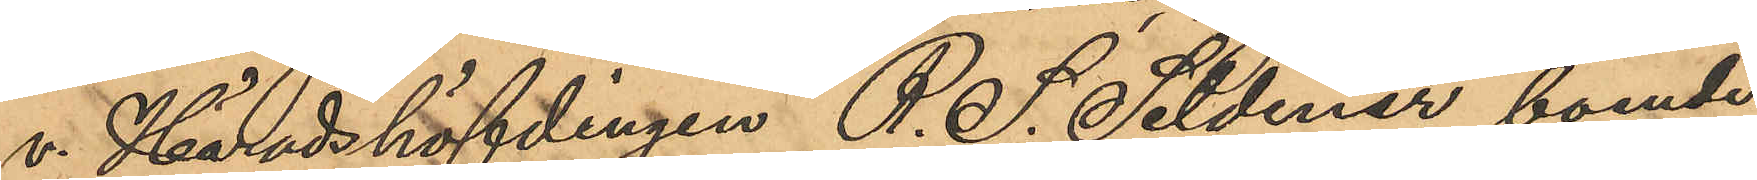v Häradshöfdingen R. S. Seldener, boende
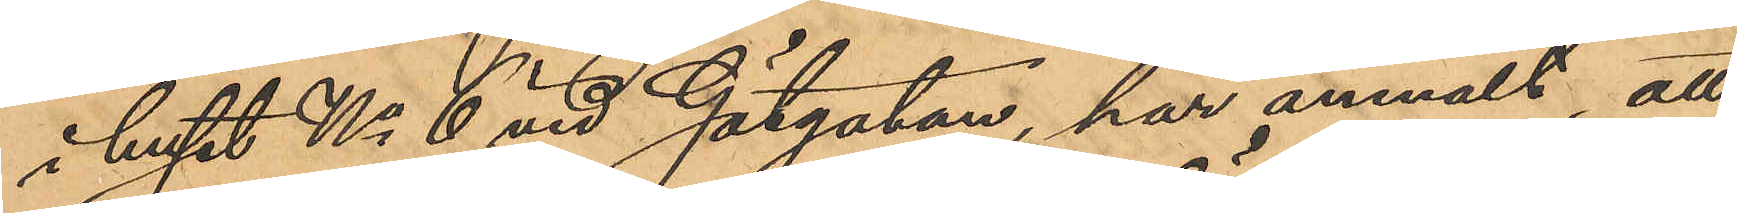i huset No 6 vid Götgatan, har anmält att
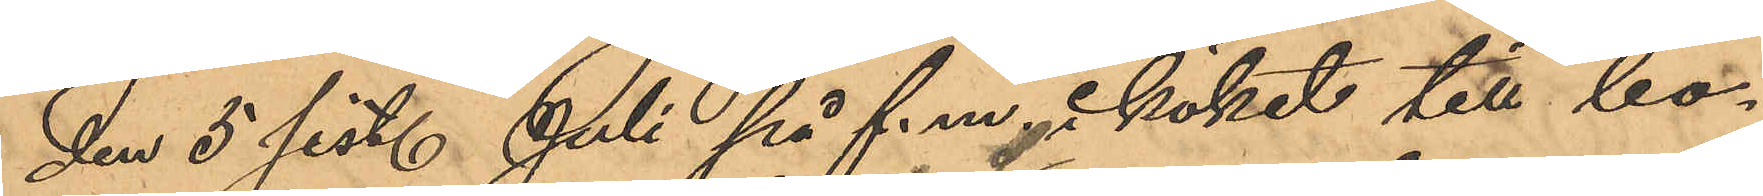den 5 sist. Juli på f. m. i köket till bo¬
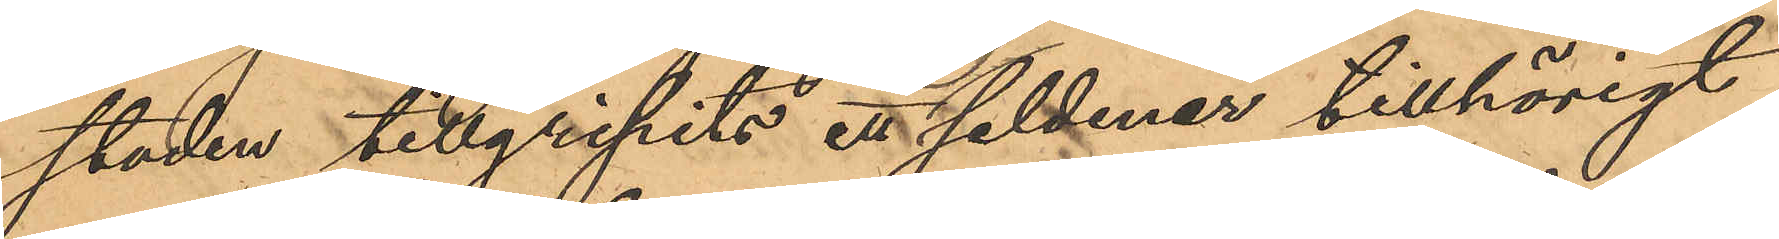staden tillgripits ett Seldener tillhörigt
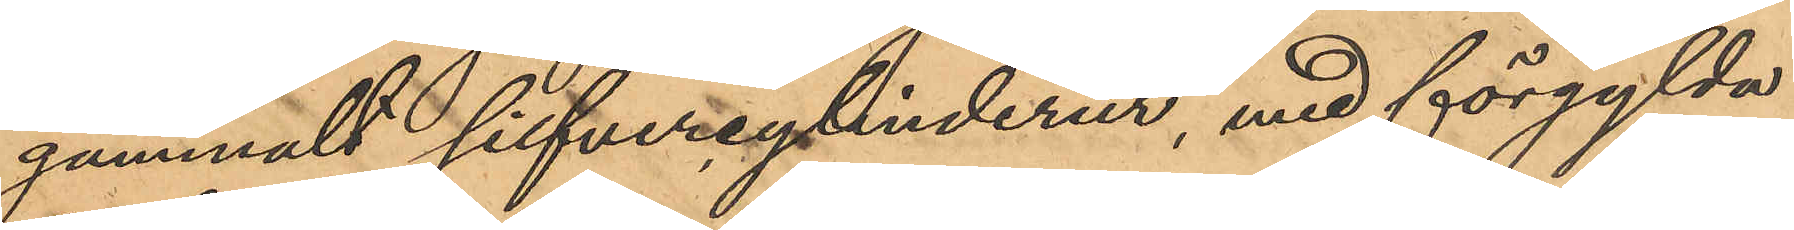gammalt silfvercylinderur, med förgylda
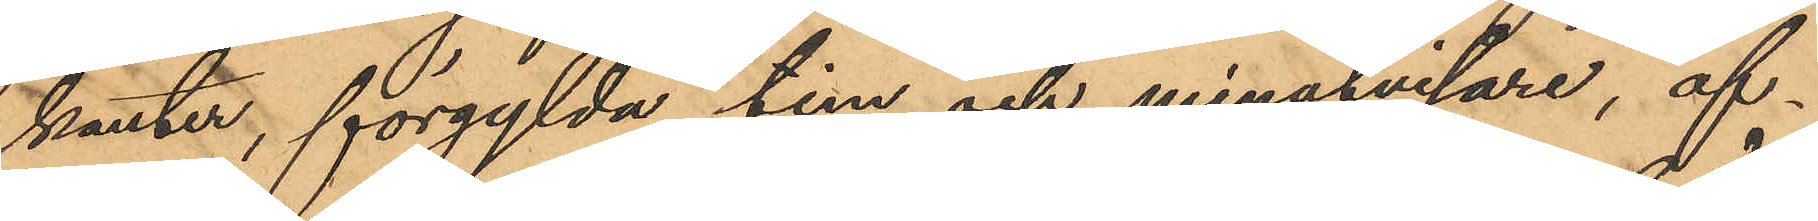kanter, förgylda tim och minutvisare, af¬
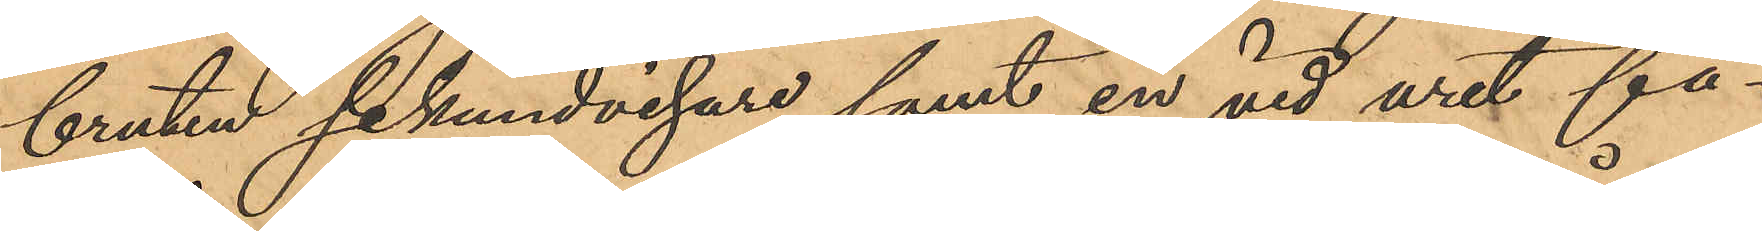bruten sekundvisare samt en vid uret fä¬
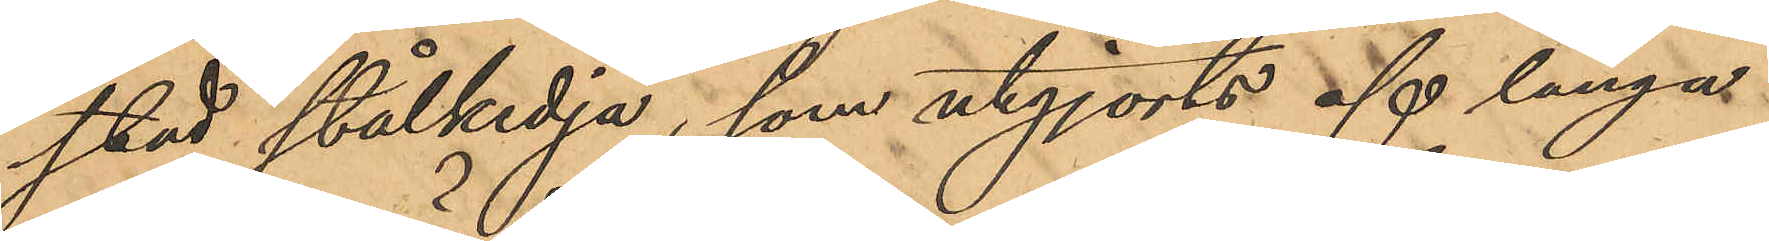stad stålkedja, som utgjorts af långa
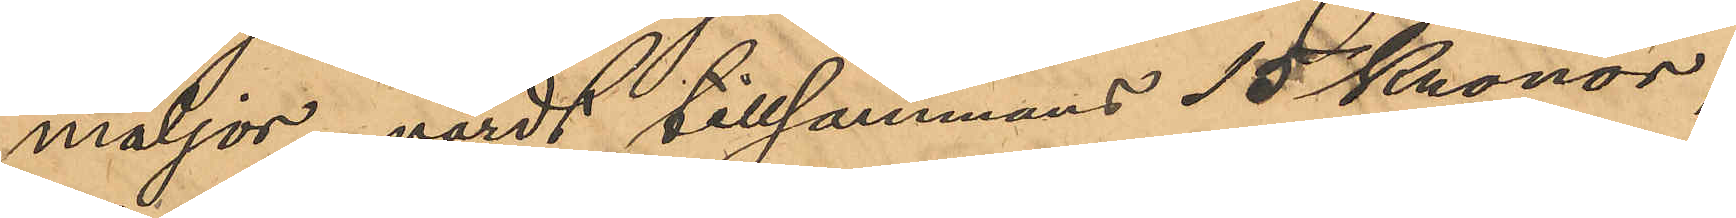maljor, värdt tillsammans 15 Kronor;
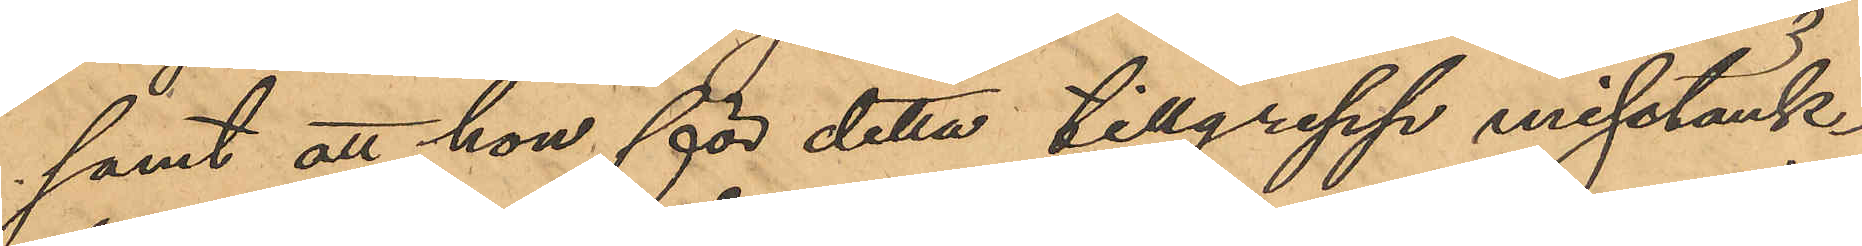samt att hon för detta tillgrepp misstänk¬
